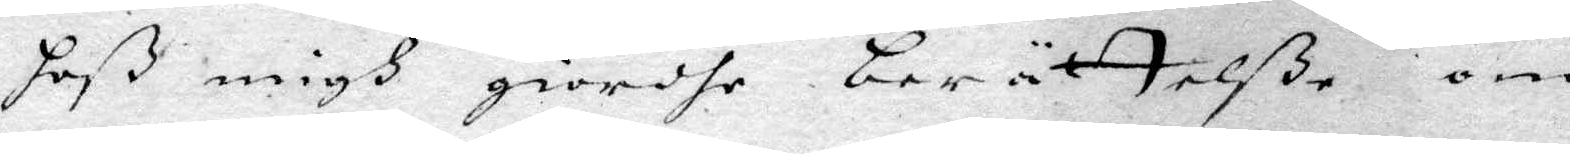hoß mifh giordhe berättelße om
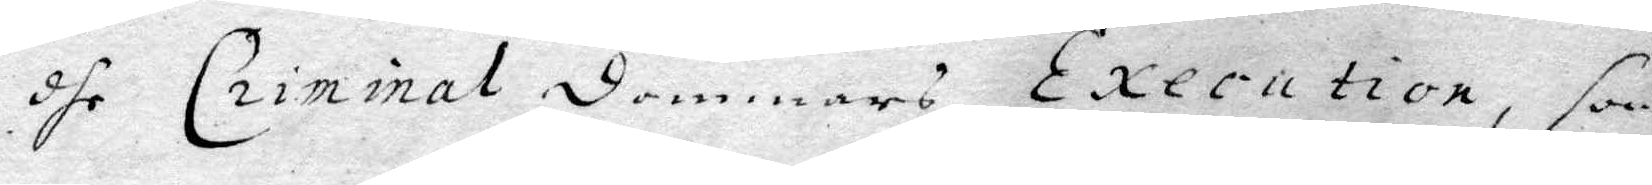dhe Criminal dommars Execution, som
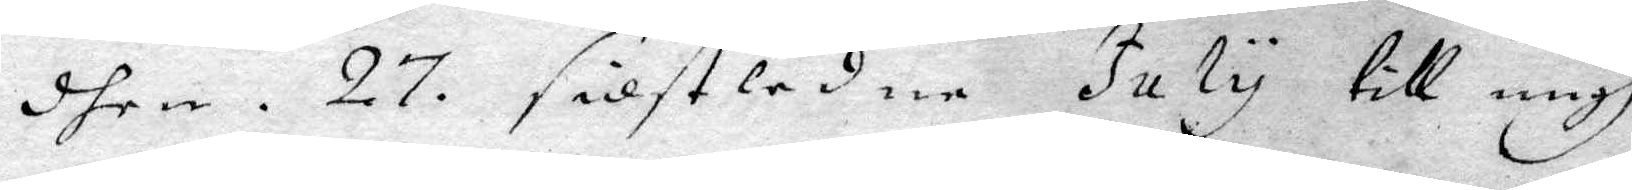dhen . 27 . sidstledne July till migh
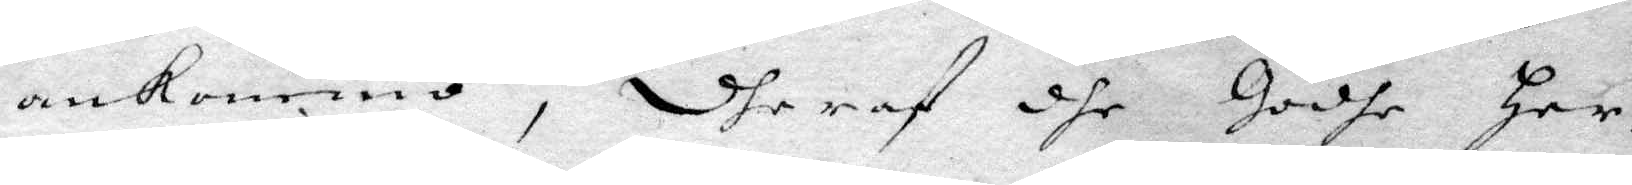ankommo, dheraf dhe Godhe Her¬
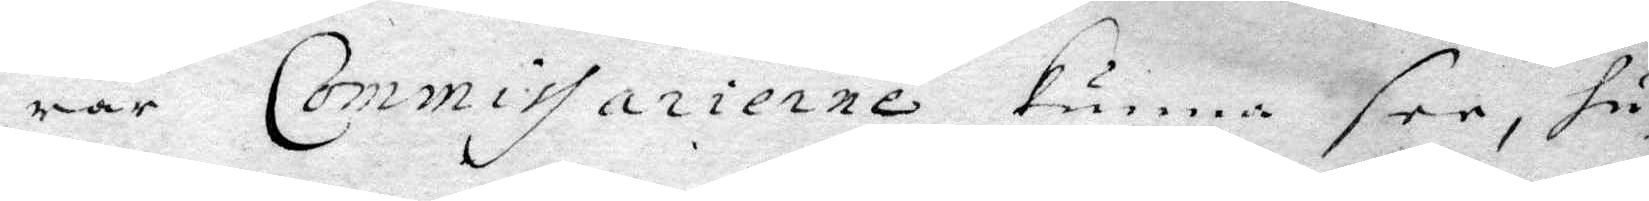rar Commissarierne kunna see, hu¬
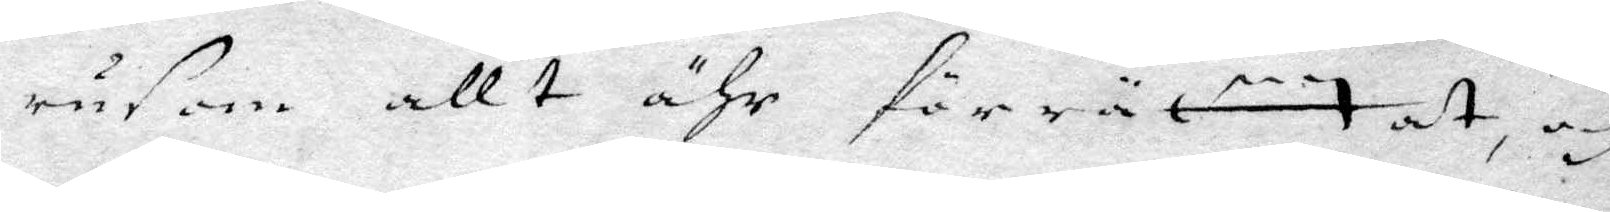rusom allt ähr förrättat, och
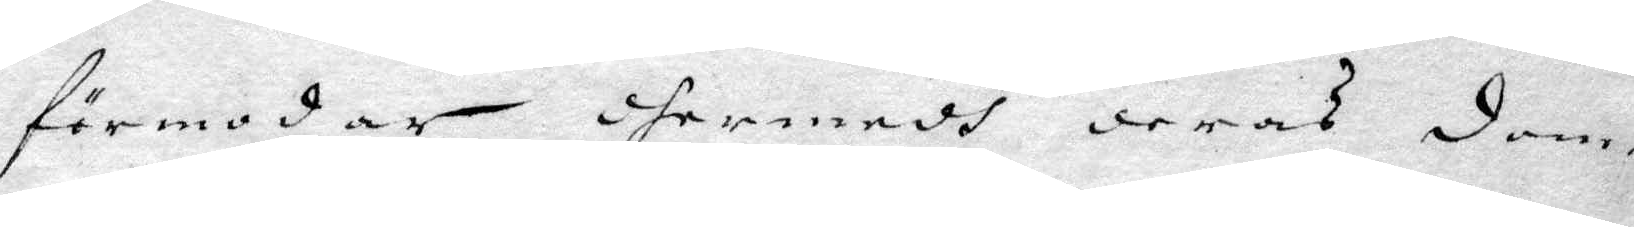förmodar dermedh deras dom¬
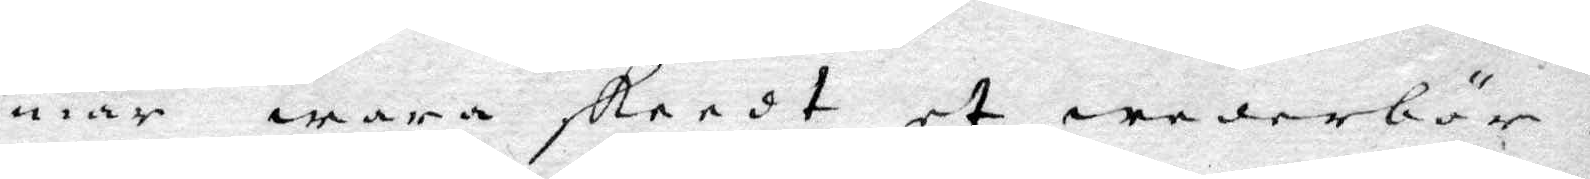mar wara skeedt et wederbör¬
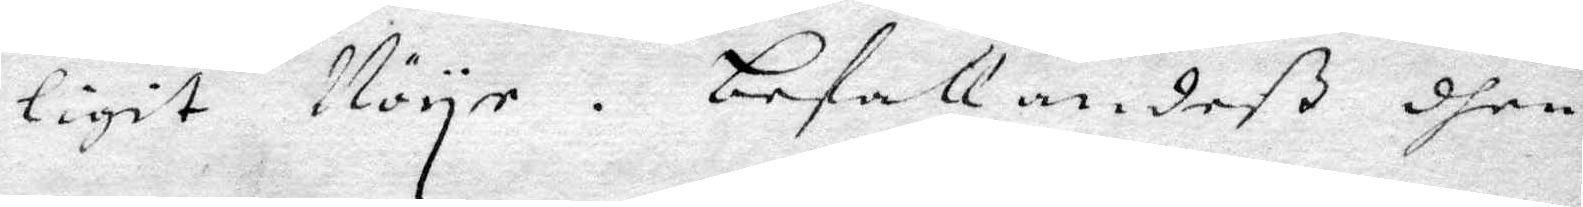ligit Nöyee. Befallandeß dhen
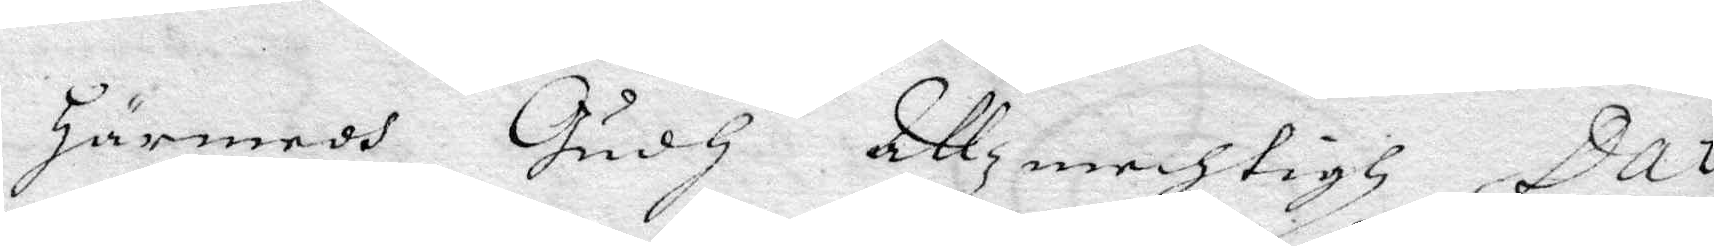härmedh Gudh Allzmechtigh, Dat
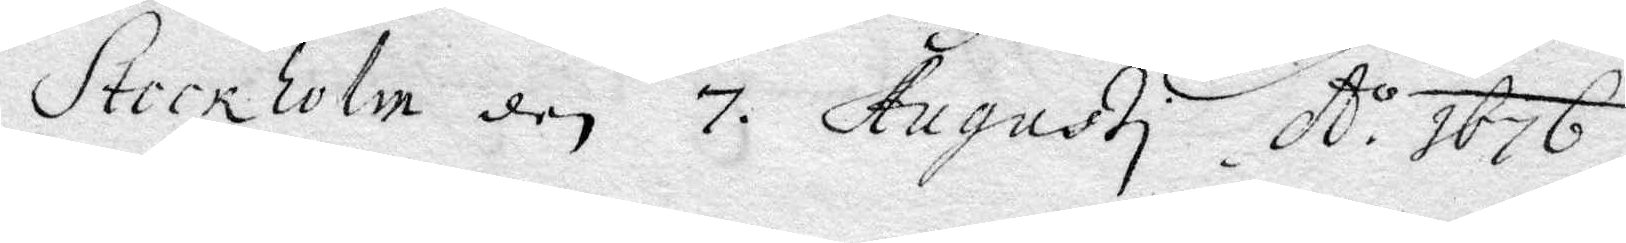Stockholm den 7 Augusti Ao 1676.
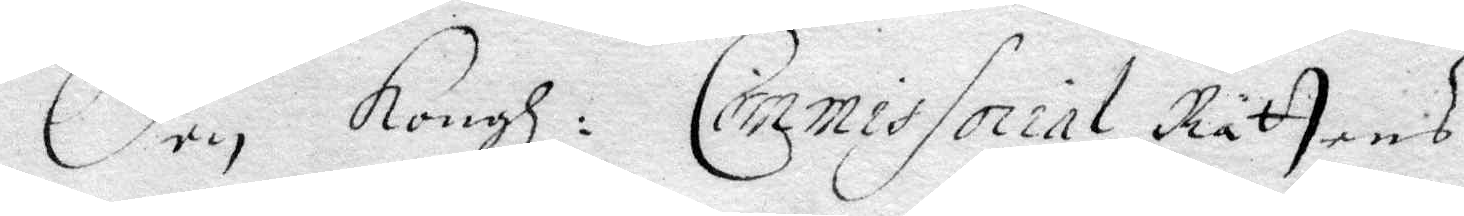den Kongl: Commissorial Rättens
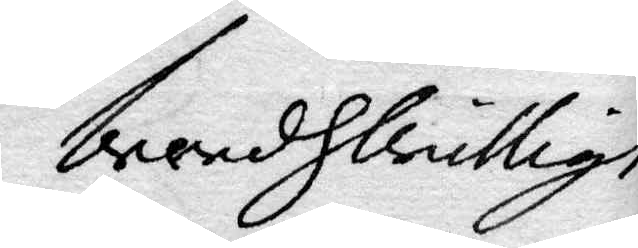brenhliullige
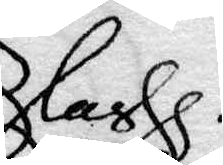Clas
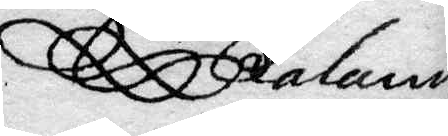Faland
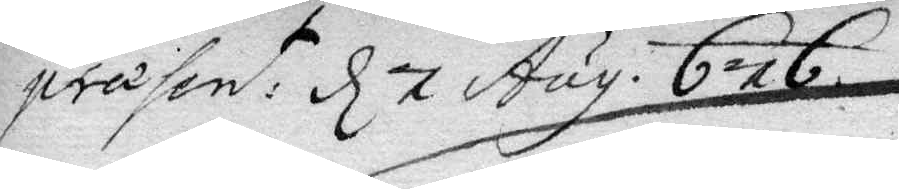präsen:t d 7 Aug. 676.
